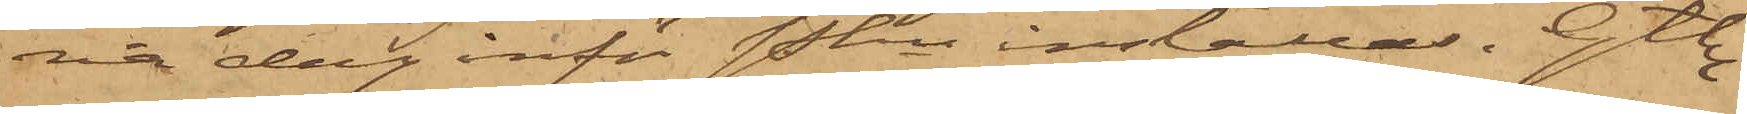na dag inför Pkn inställas. Gtbg
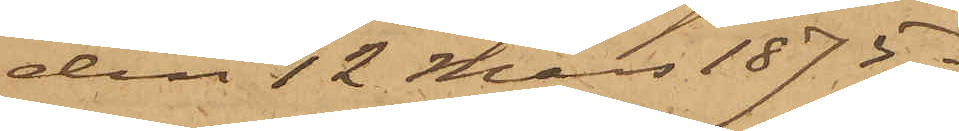den 12 Mars 1875.
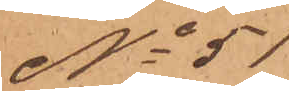No 51
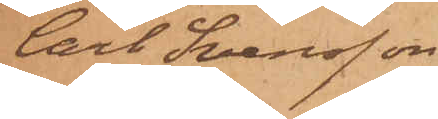Carl Svensson
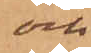och
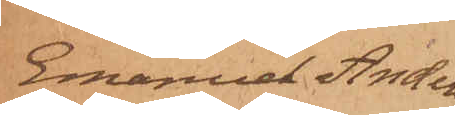Emanuel Anders¬
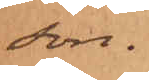son.
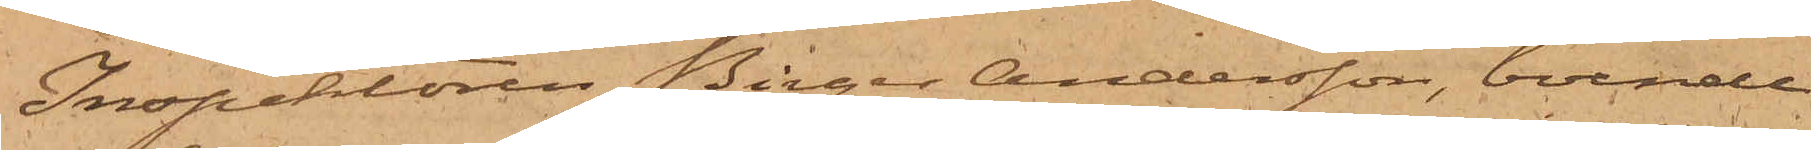Inspektoren Birger Andersson, boende
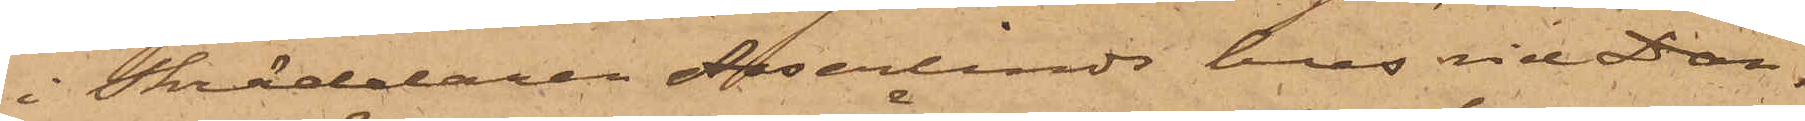i Skräddaren Asserlinds hus vid Dan¬
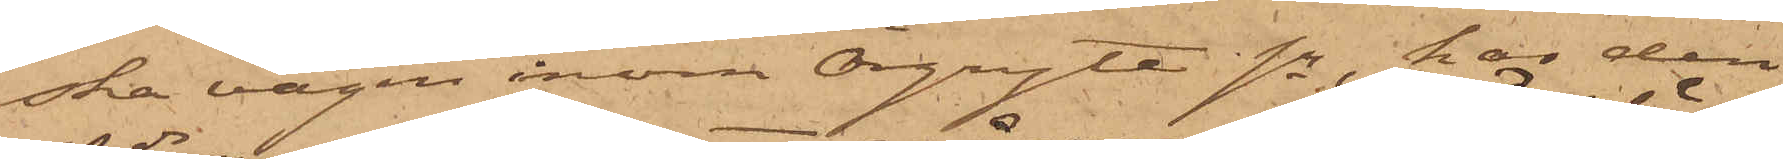ska vägen inom Örgryte sn, har den
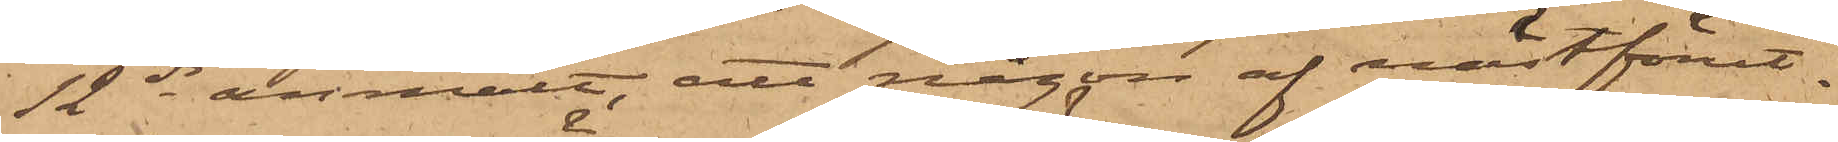12 ds anmält, att någon af nästförut¬
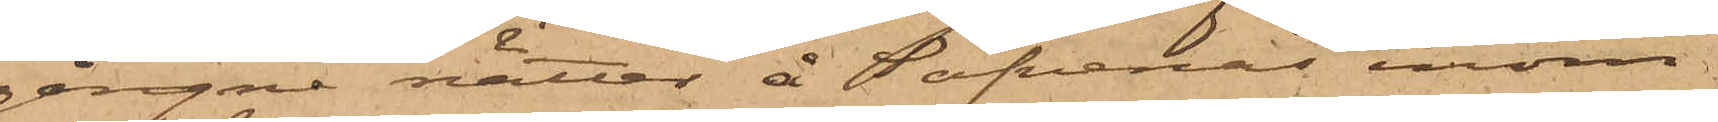gångne nätter å Säfvenäs inom
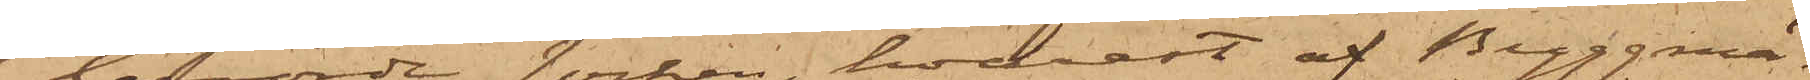berörde socken, hvarest af Byggmä¬
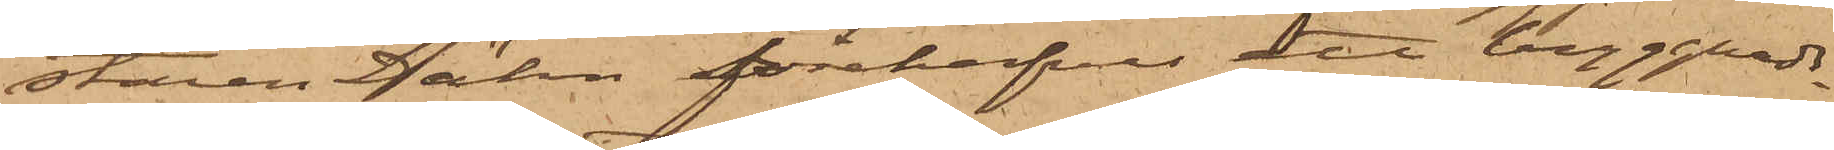staren Dähn förehafves ett byggnads¬
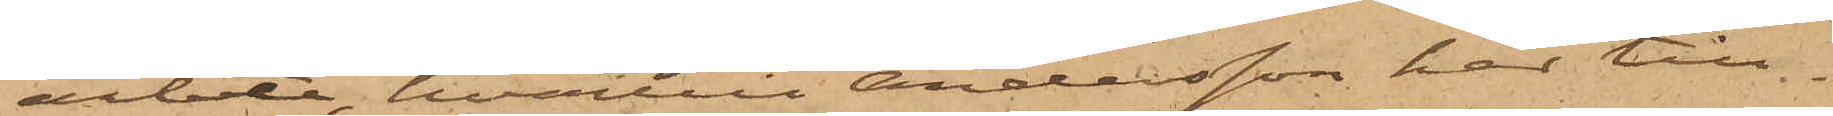arbete, hvartill Andersson har till¬
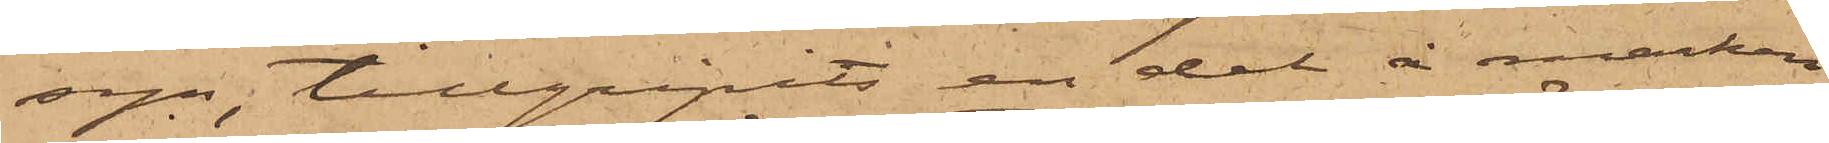syn, tillgripits en del å marken
